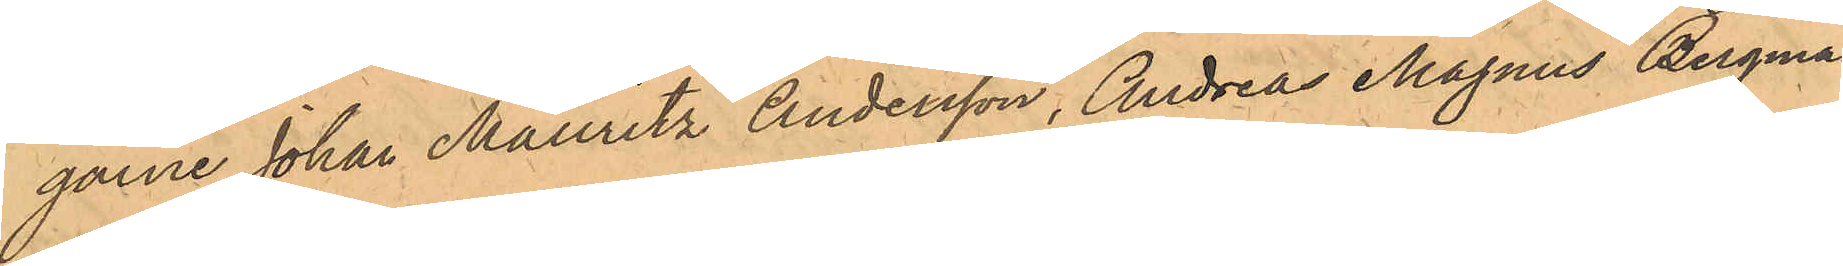garne Johan Mauritz Andersson, Andreas Magnus Bergman
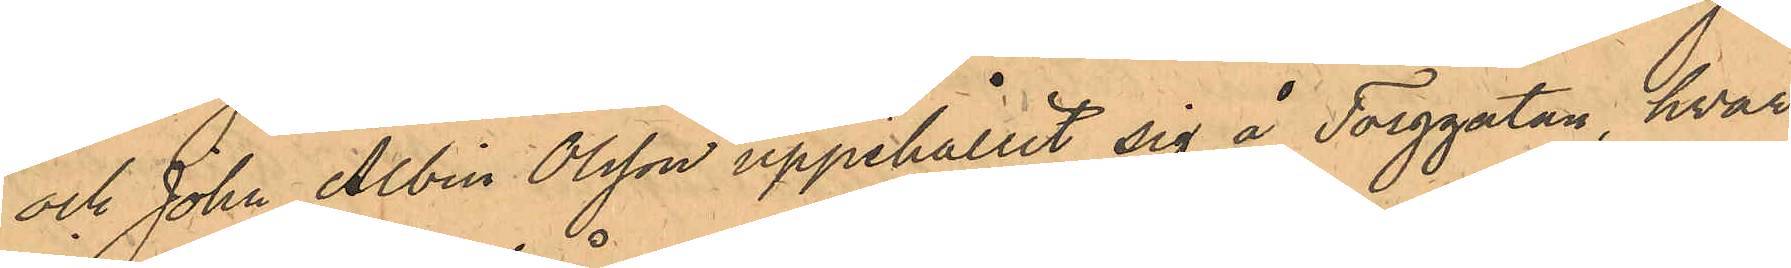och John Albin Olsson uppehållit sig å Torggatan, hvar¬
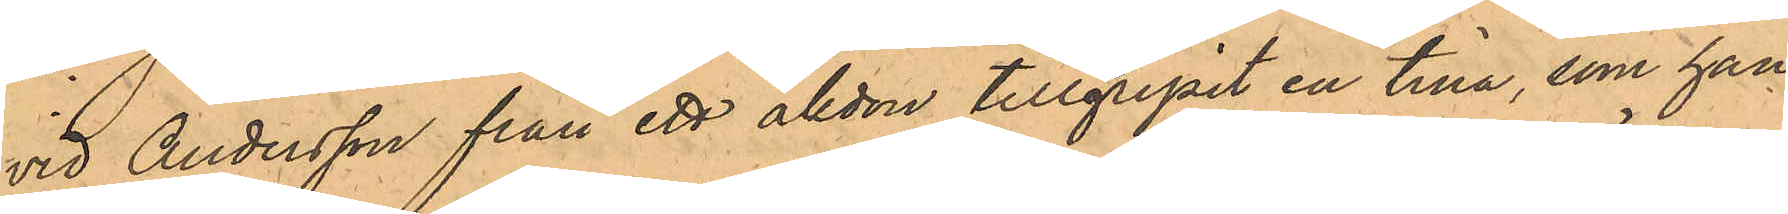vid Andersson från ett åkdon tillgripit en tina, som han
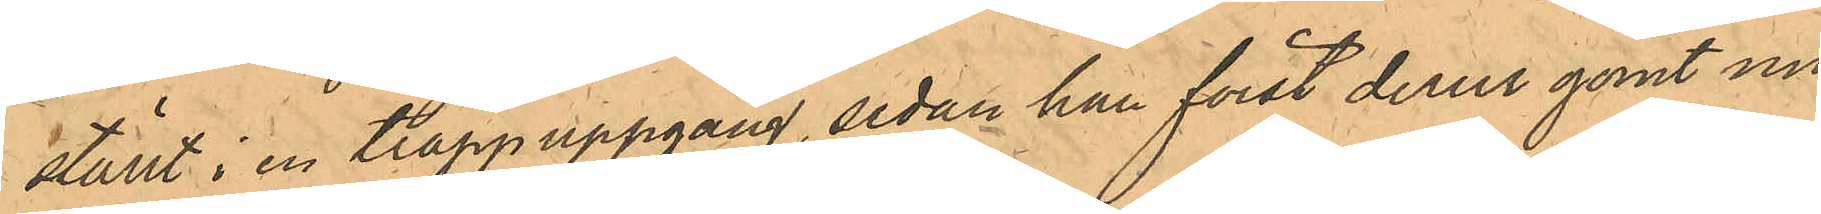 ställt i en trappuppgång, sedan han först derur gömt un¬
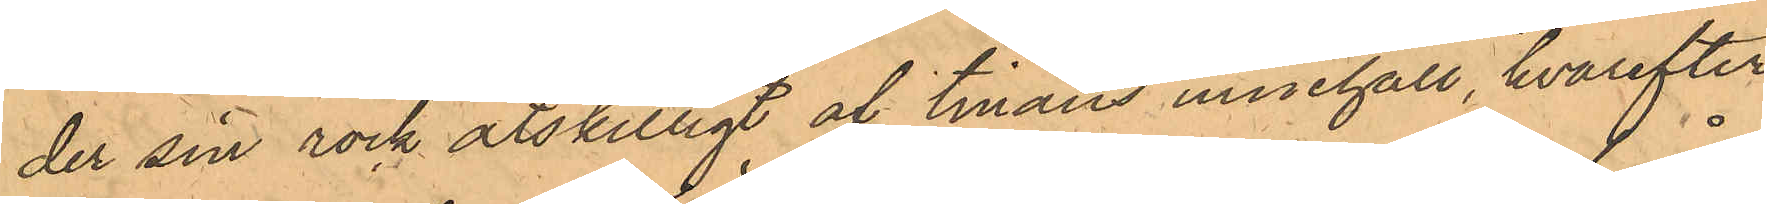der sin rock åtskilligt af tinans innehåll, hvarefter
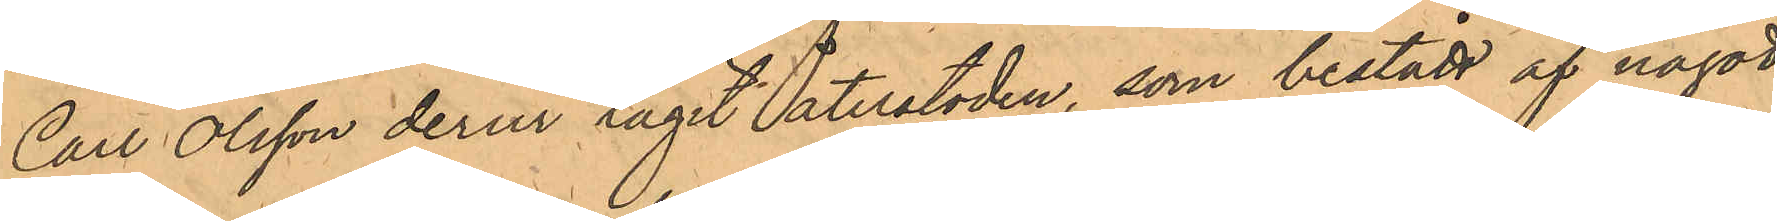Carl Olsson derur tagit återstoden, som bestått af något
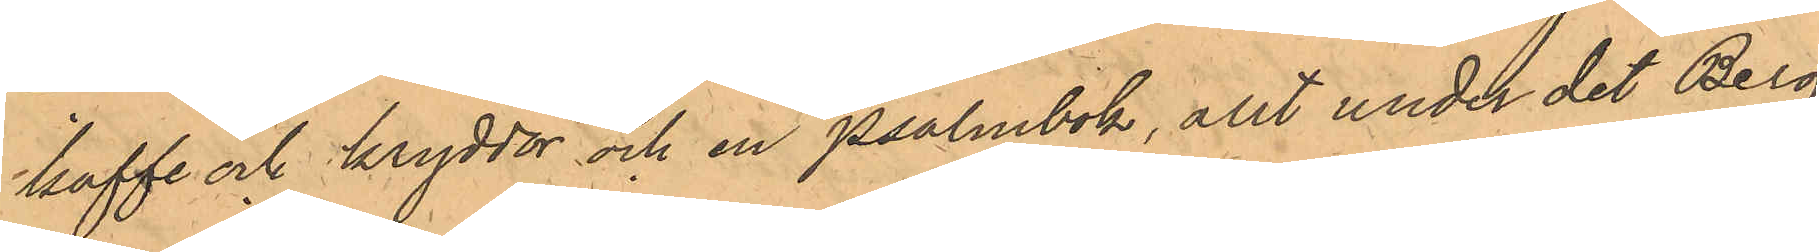kaffe och kryddor och en psalmbok, allt under det Berg¬
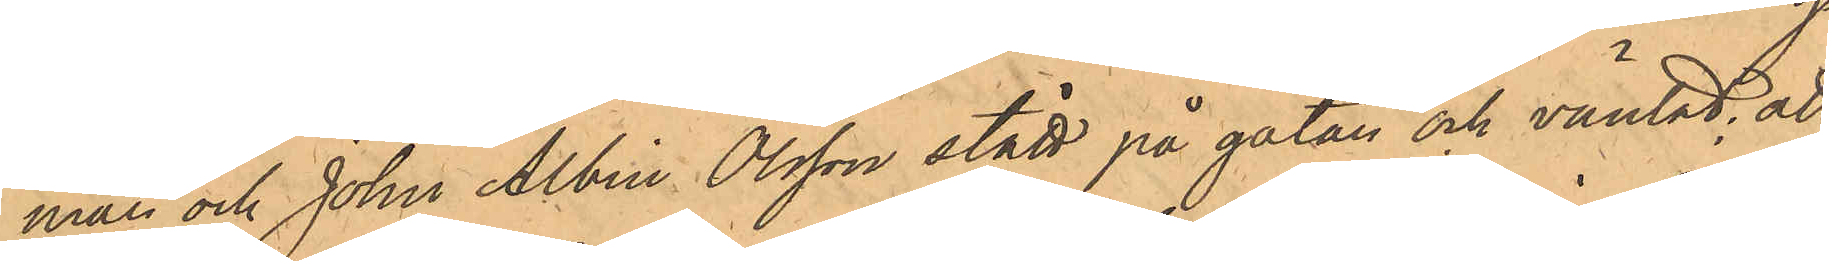man och John Albin Olsson stått på gatan och väntat; att
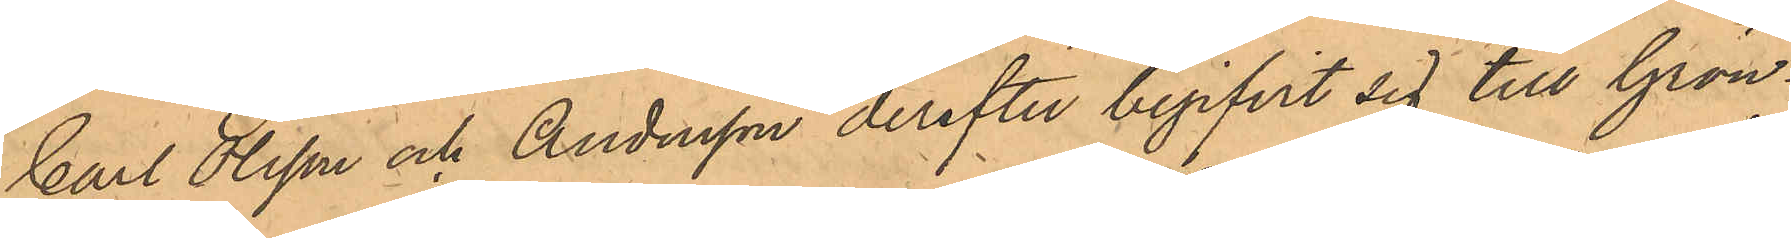Carl Olsson och Andersson derefter begifvit sig till Grön¬
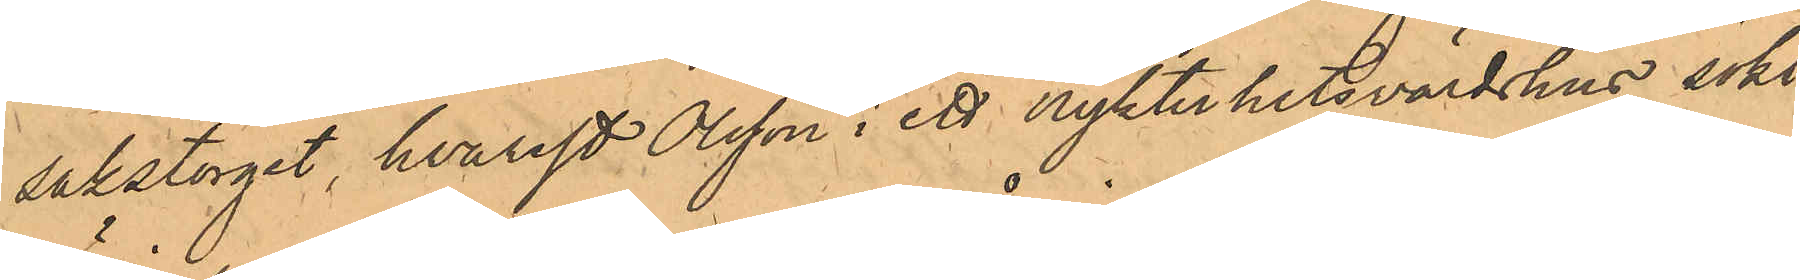sakstorget, hvarest Olsson i ett nykterhetsvärdshus sökt
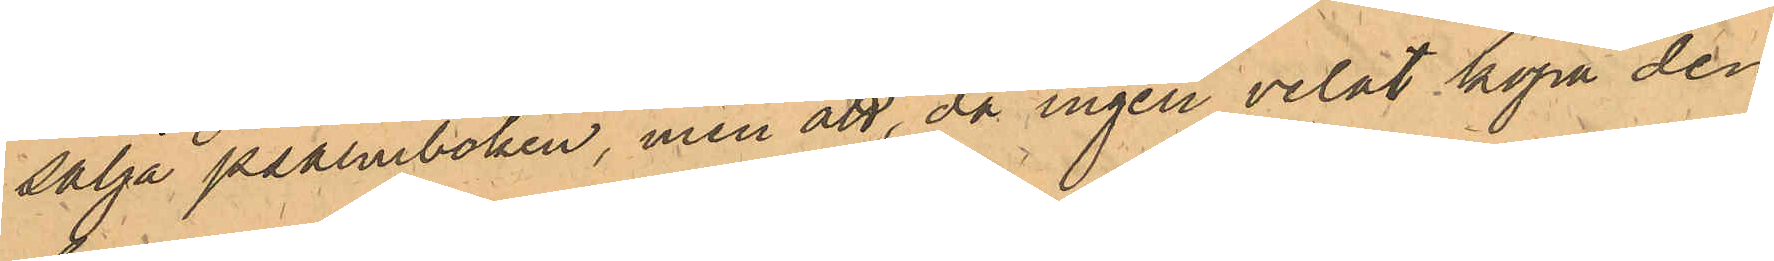sälja psalmboken, men att, då ingen velat köpa den,
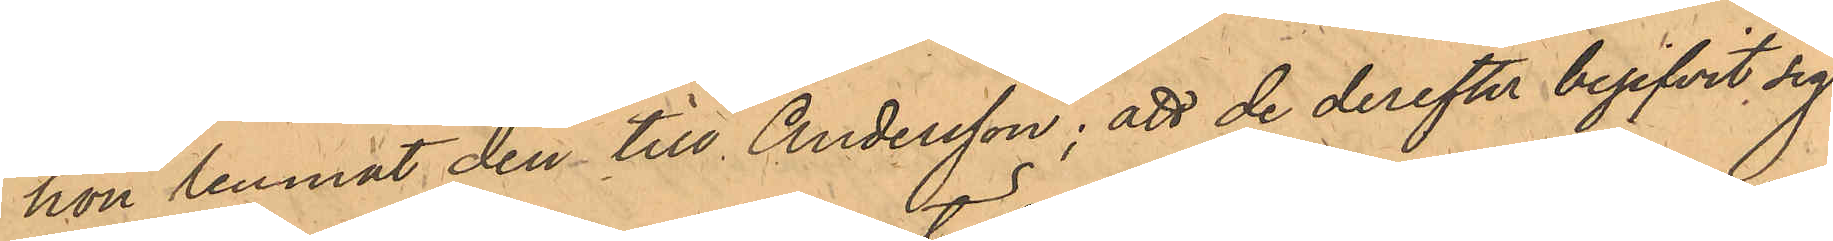hon lemnat den till Andersson; att de derefter begifvit sig
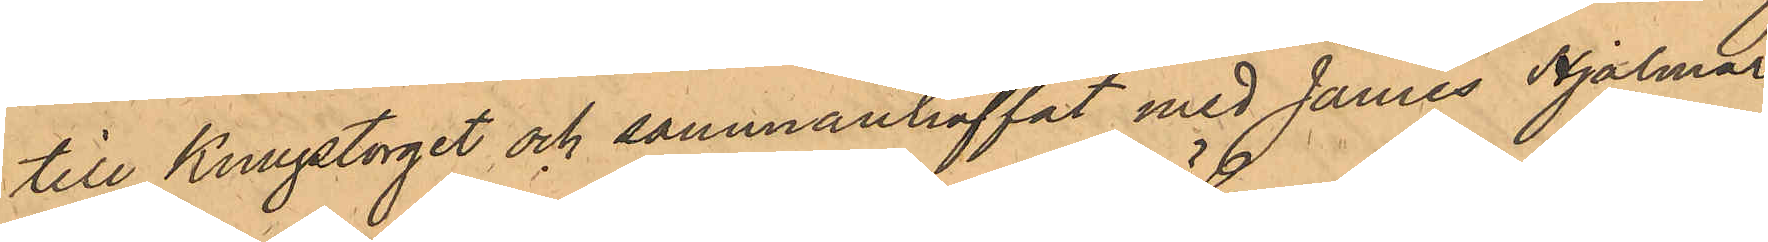till Kungstorget och sammanträffat med James Hjalmar
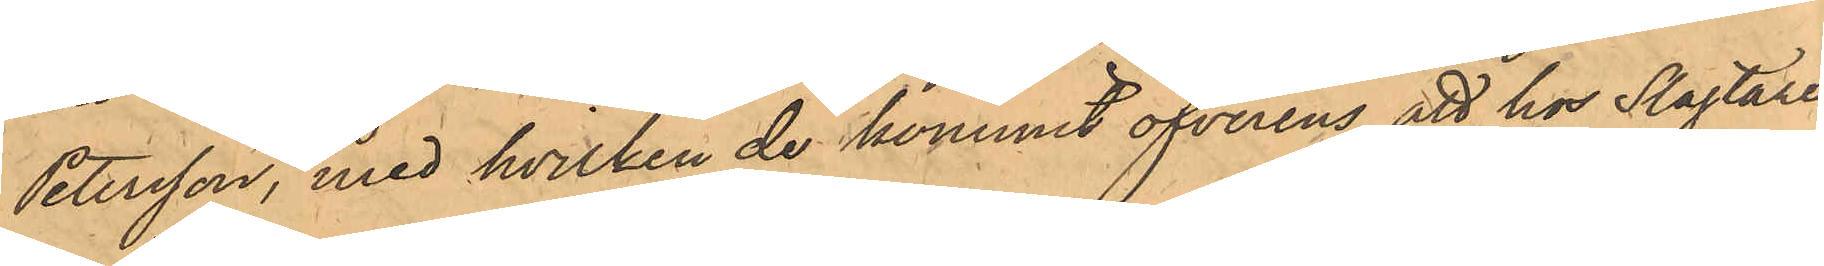Petersson, med hvilken de kommit öfverens att hos Slagtare¬
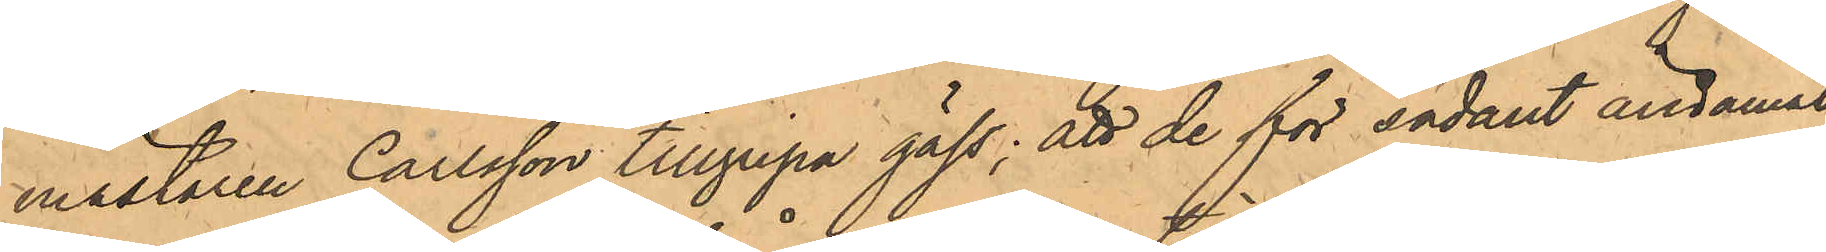mästaren Carlsson tillgripa gäss; att de för sådant ändamål
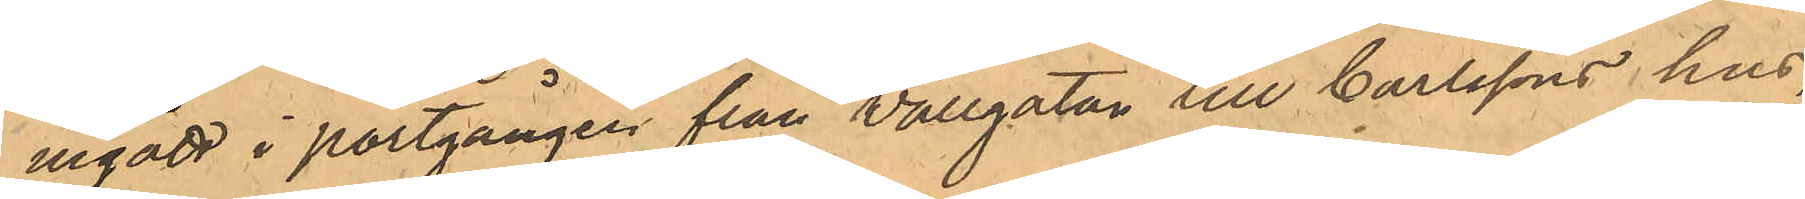ingått i portgången från Vallgatan till Carlssons hus,
